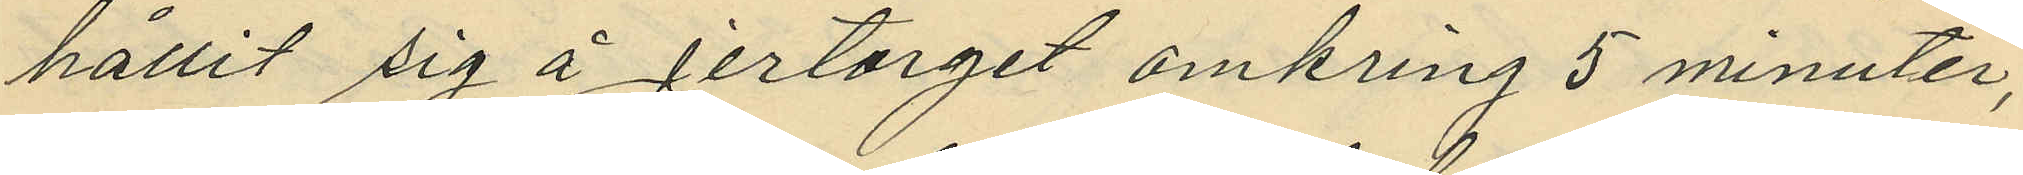hållit sig å Jertorget omkring 5 minuter,
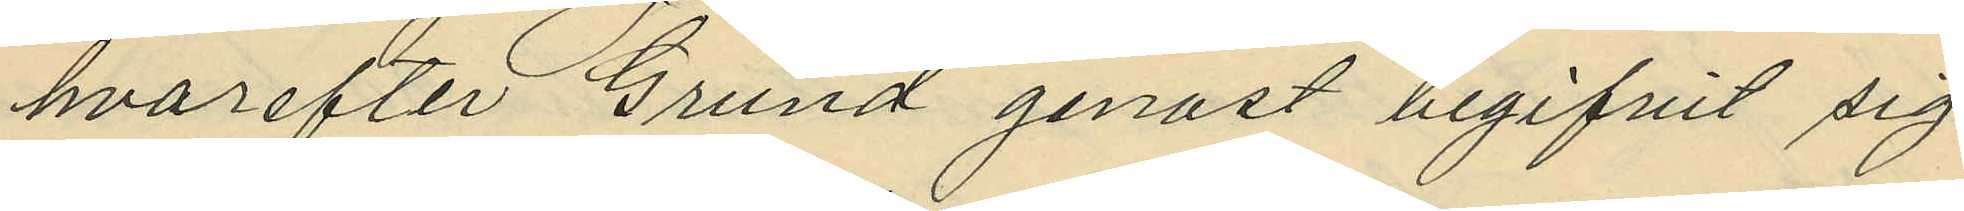hvarefter Grund genast begifvit sig
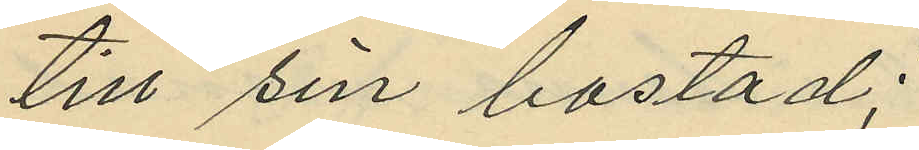till sin bostad;
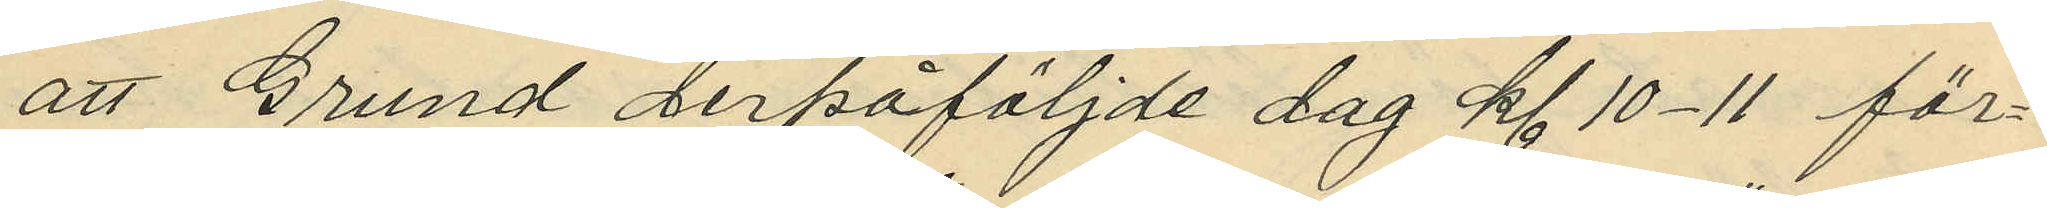att Grund derpåföljde dag kl 10-11 för¬
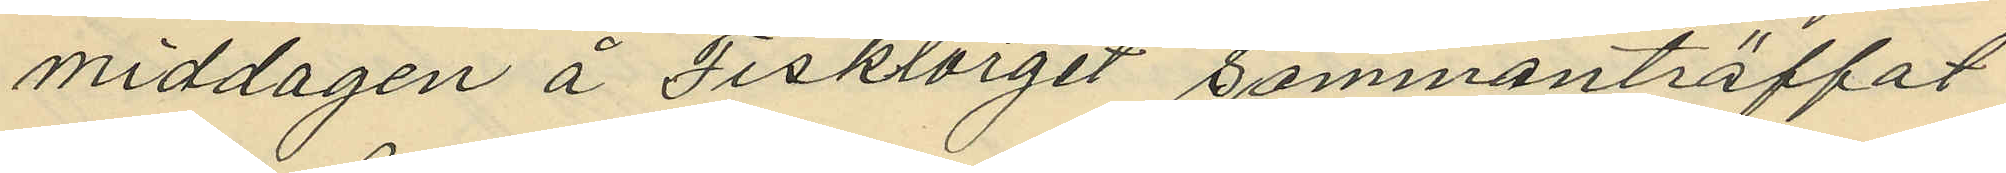middagen å Fisktorget sammanträffat
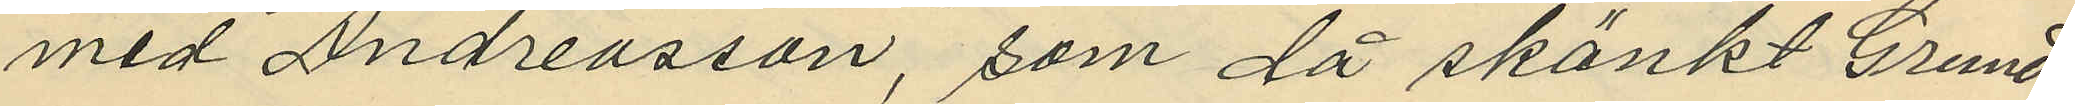med Andreasson, som då skänkt Grund
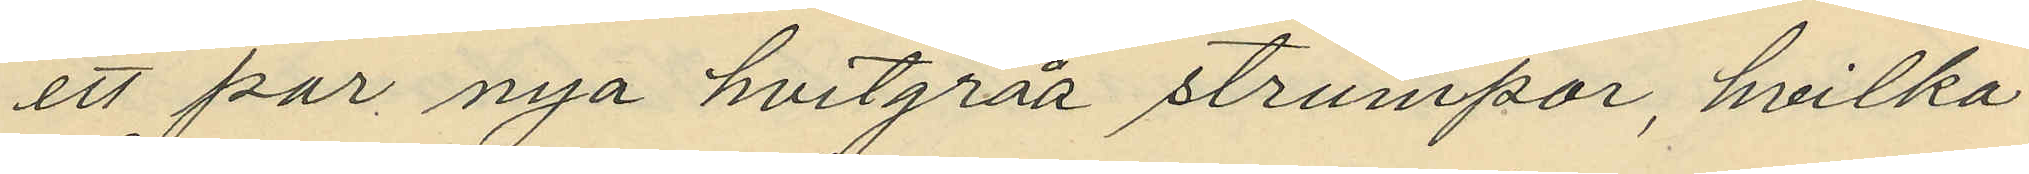ett par nya hvitgråa strumpor, hvilka
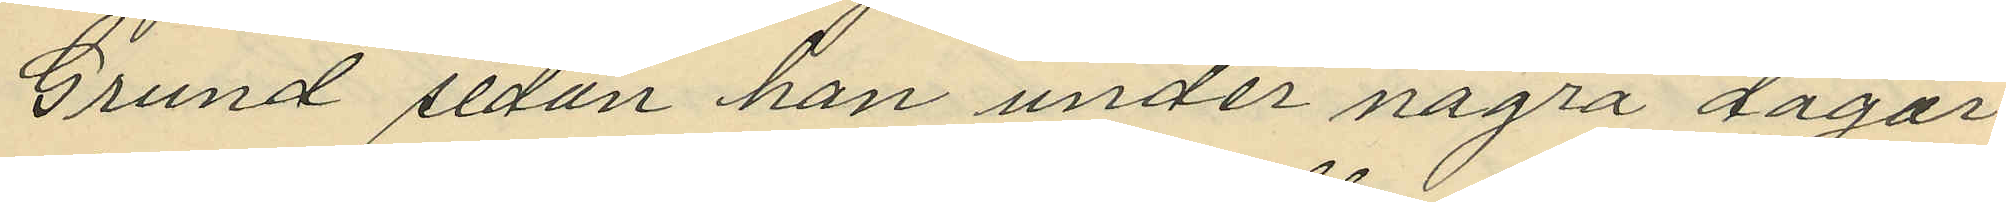Grund sedan han under några dagar
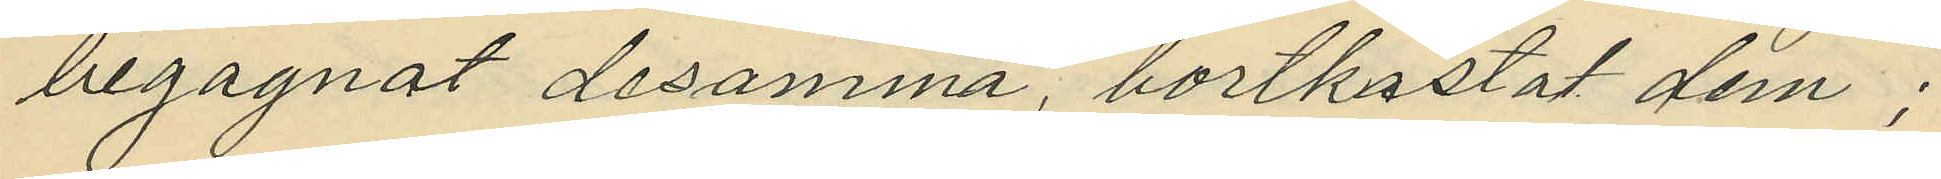begagnat desamma, bortkastat dem;
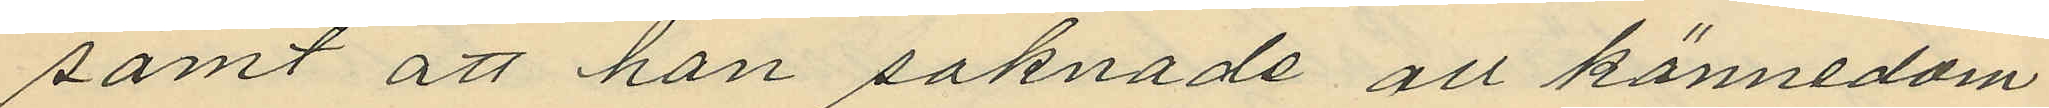samt att han saknade all kännedom
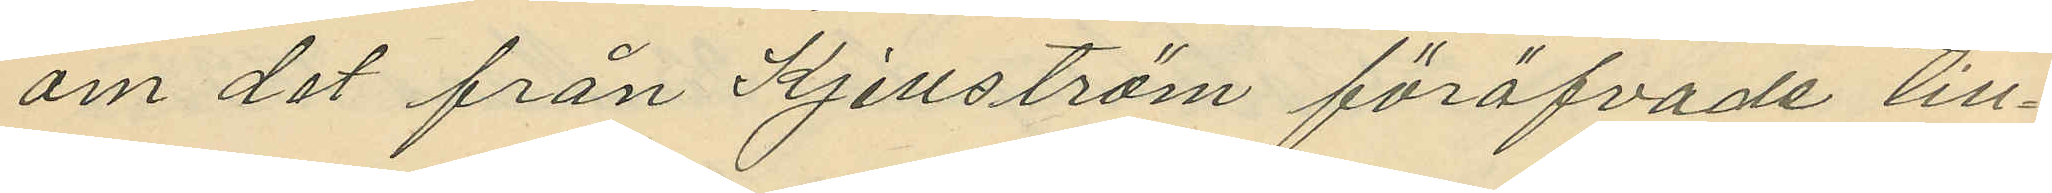om det från Kjellström föröfvade till¬
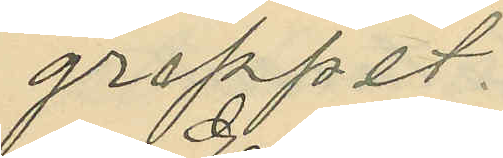greppet.
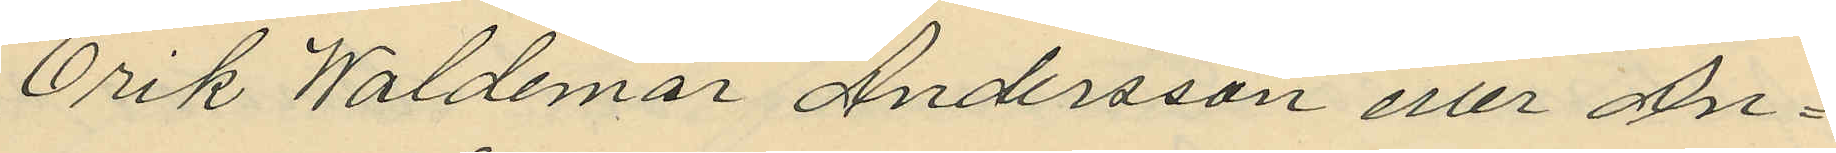Erik Waldemar Andersson eller An¬
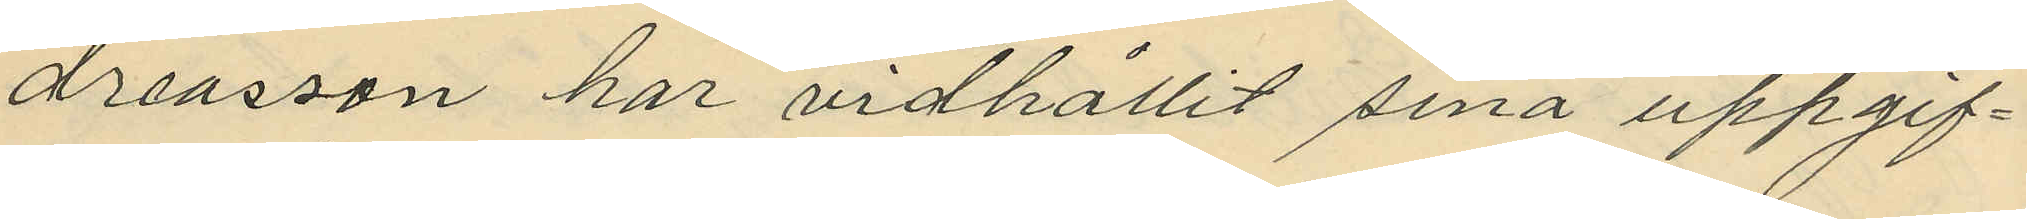dreasson har vidhållit sina uppgif¬
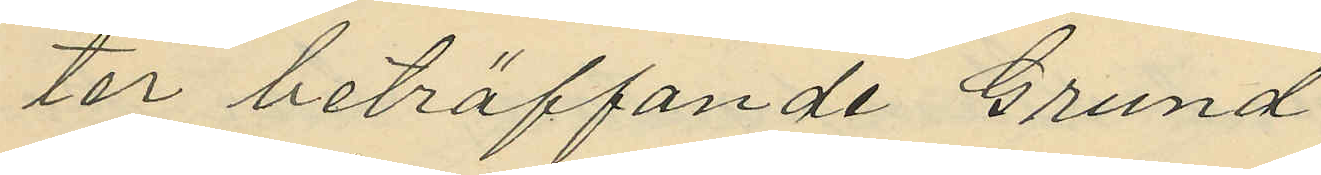ter beträffande Grund
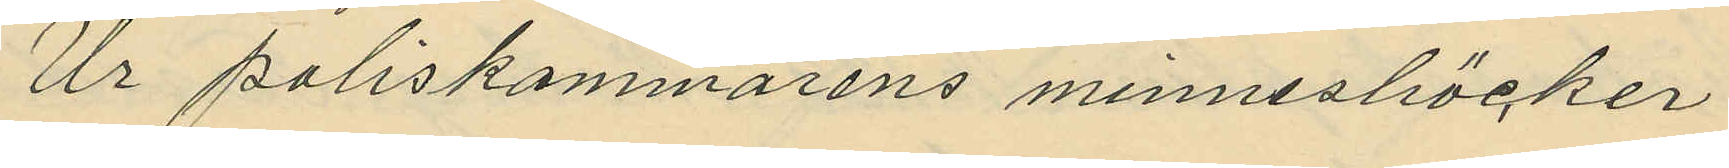Ur poliskammarens minnesböcker
